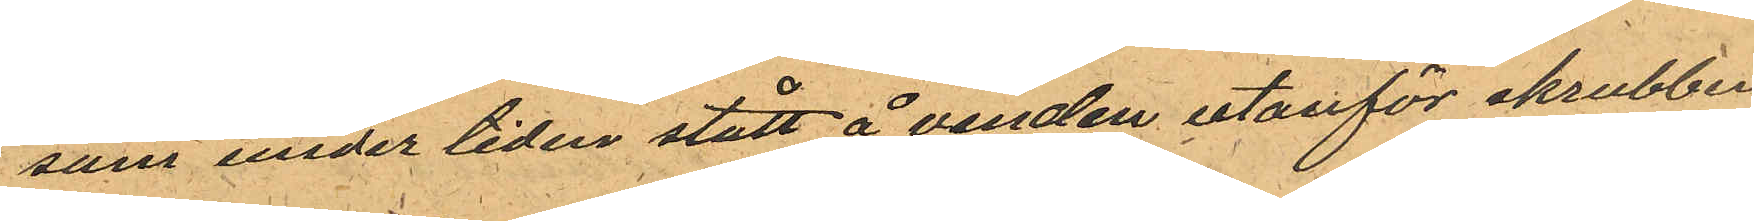som under tiden stått å vinden utanför skrubben
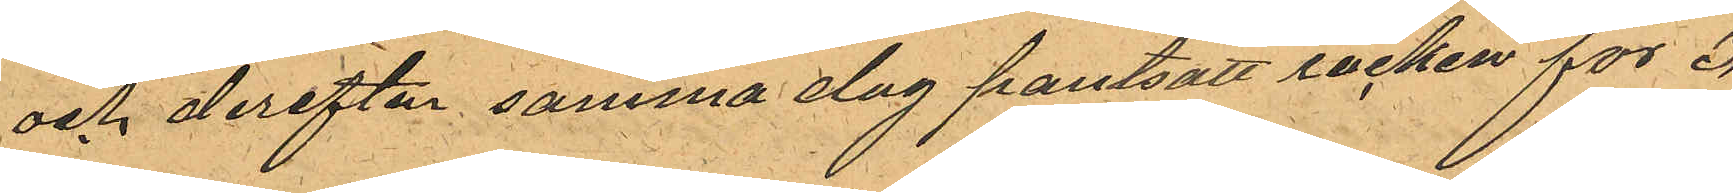och derefter samma dag pantsatt rocken för 3
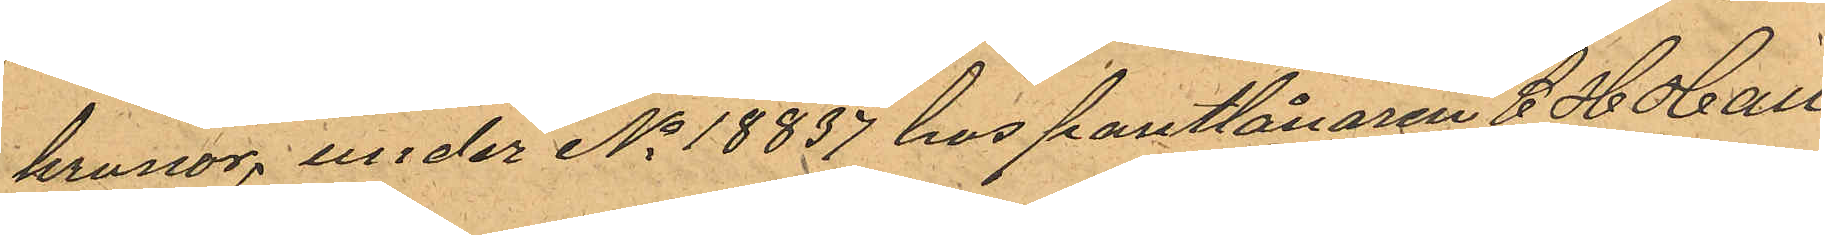kronor, under No 18837 hos pantlånaren C H Hall¬
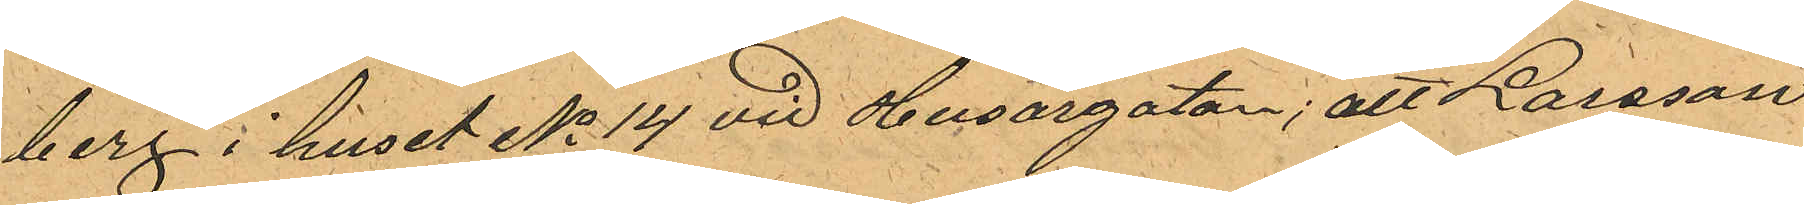berg i huset No 14 vid Husargatan; att Larsson
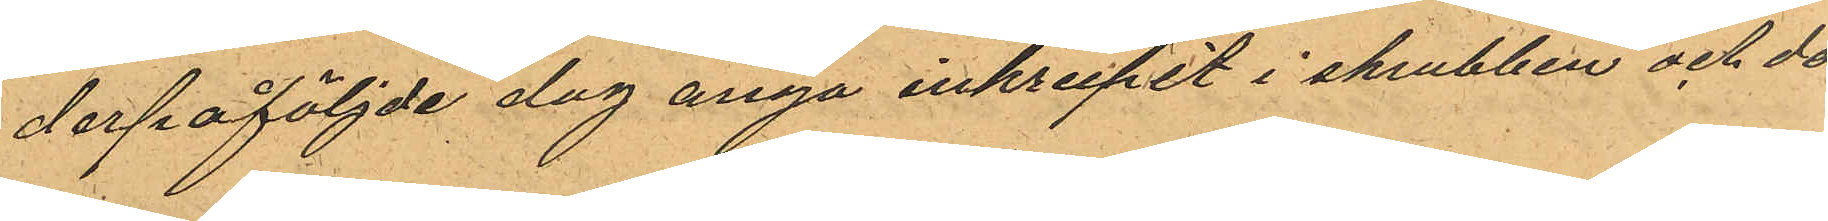derpåföljde dag ånyo inkrupit i skrubben och då
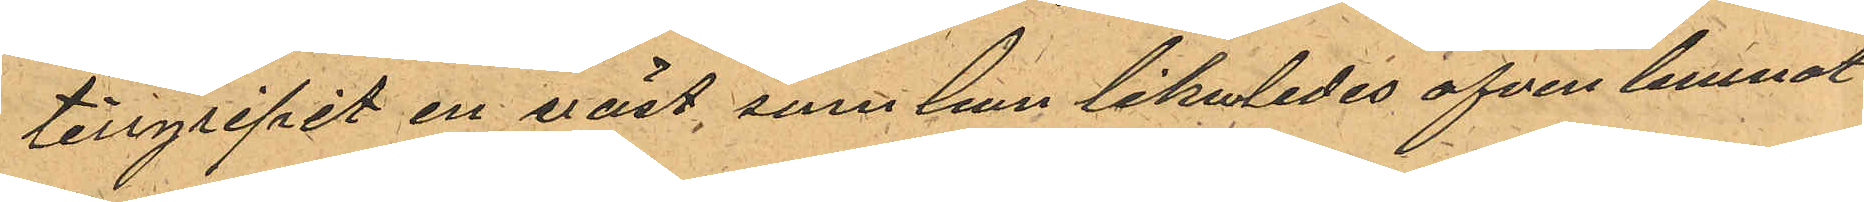tillgripit en väst, som han likaledes ofven lemnat
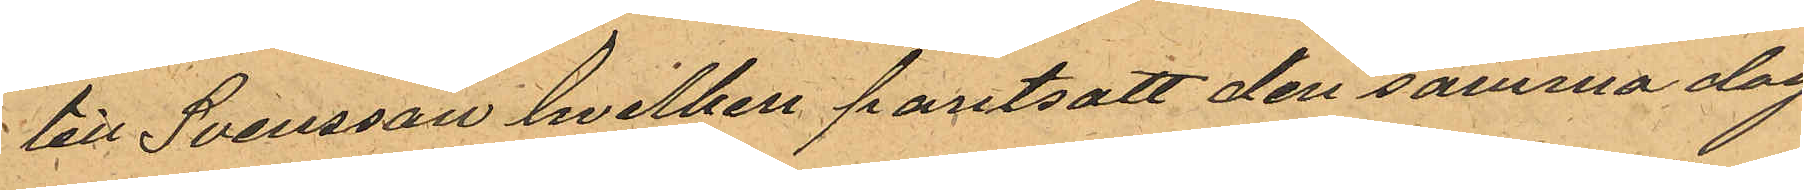till Svensson hvilken pantsatt den samma dag
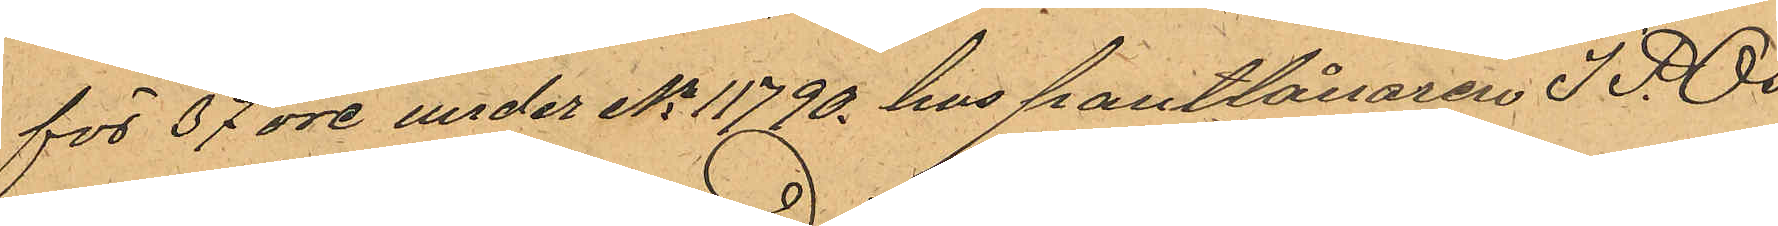för 37 öre under No 11790 hos pantlånaren J. P. Os¬
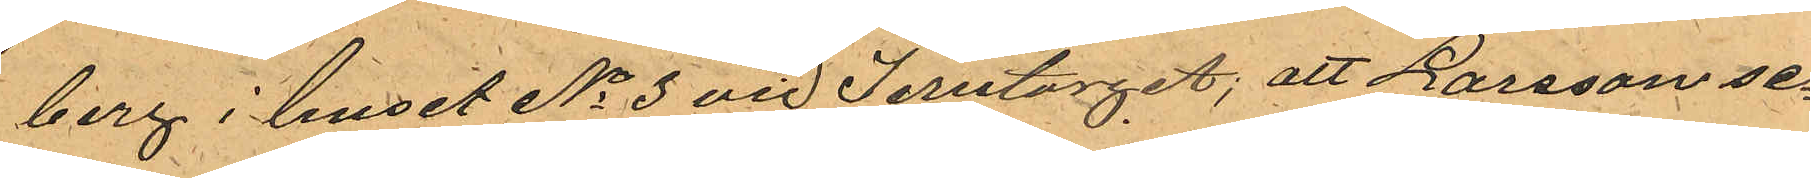berg i huset No 3 vid Jerntorget; att Larsson se¬
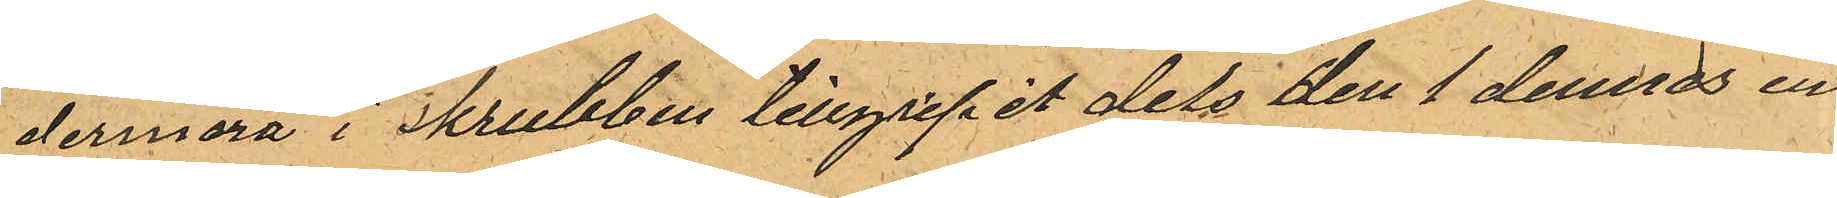dermera i skrubbben tillgripit dels den 1 dennes en
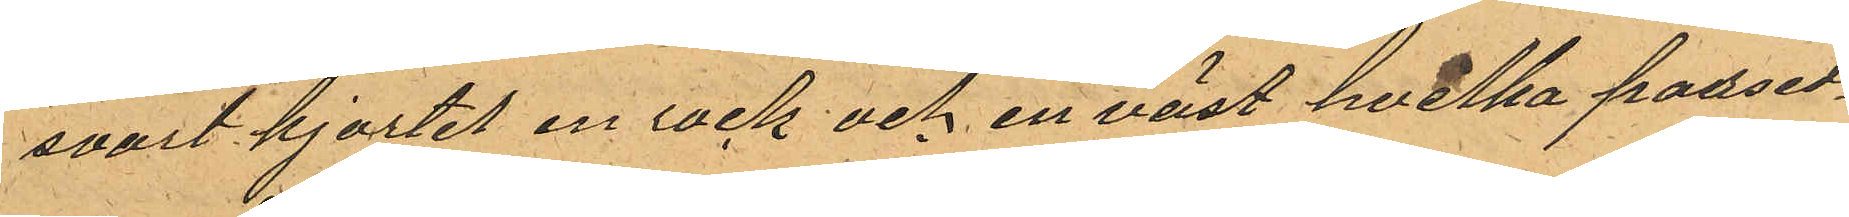svart kjortel en rock och en väst hvilka parsed¬
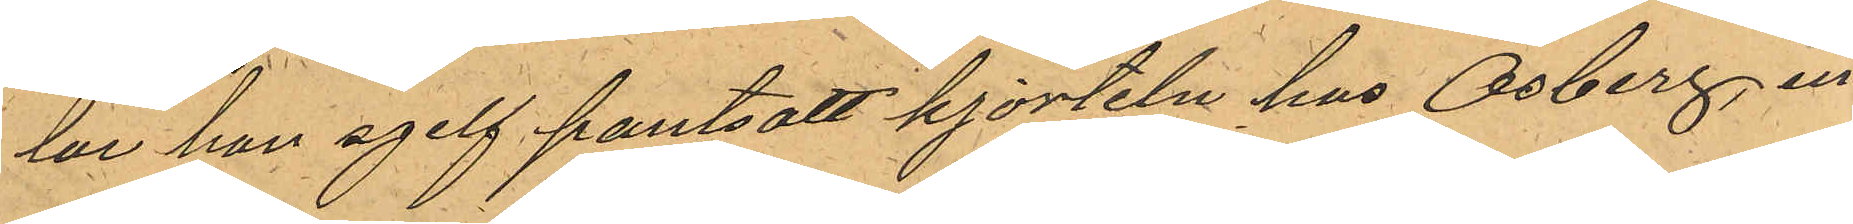lar han sjelf pantsatt kjorteln hos Osberg, un¬
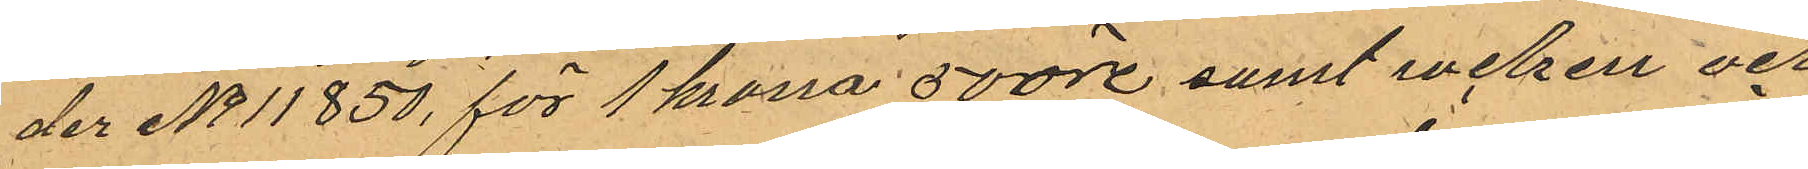der No 11 850, för 1 krona 50 öre samt rocken och
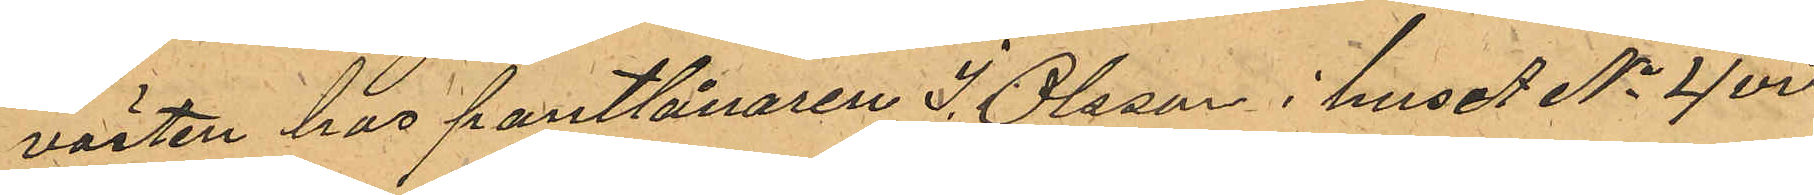västen hos pantlånaren J. Olsson i huset No 4 vid
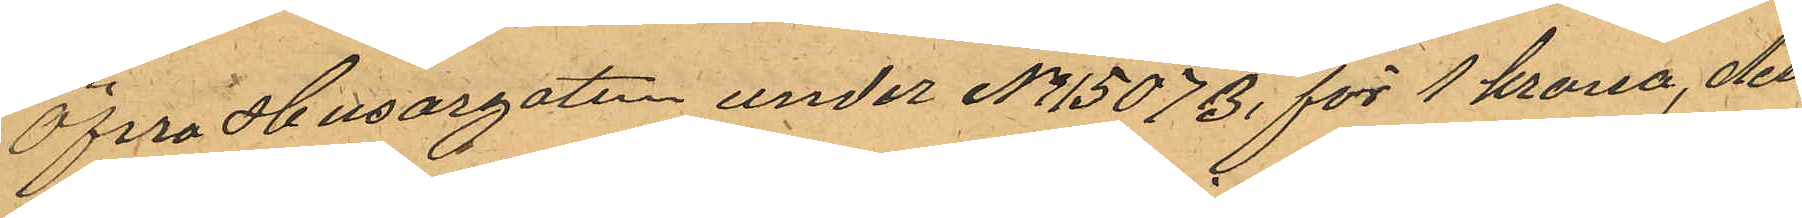Öfrra Husargatan under No 15073 för 1 krona, dels
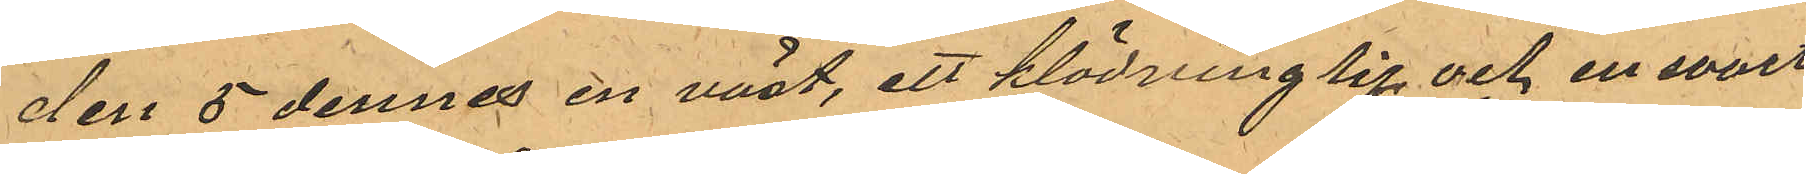den 5 dennes en väst, ett klädning lif och en svart
